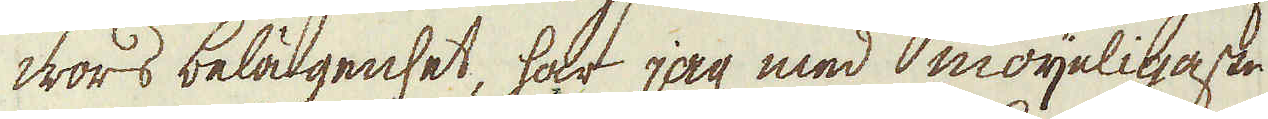wors belägenhet, har jag med möyeligaste
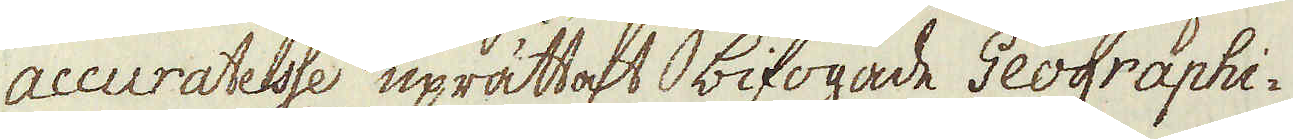accuratesse uprättat bifogade Geographi-
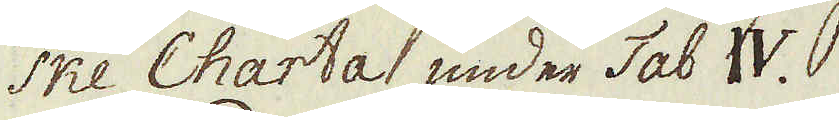ske Charta under Tab IV.
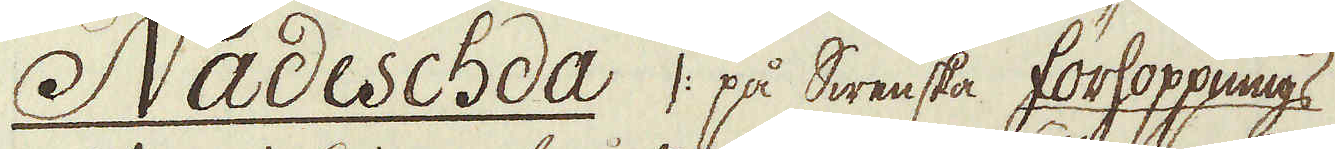Nadeschda /: på Swenska förhoppnings
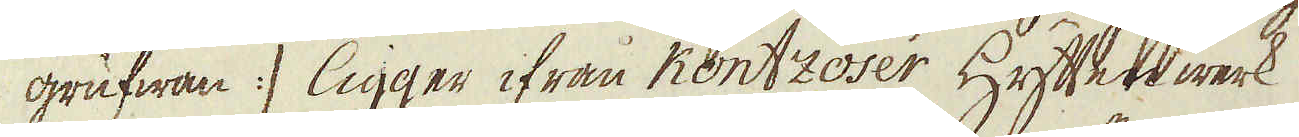grufwan :/ ligger ifrån Kontzoser Hyttenwerk
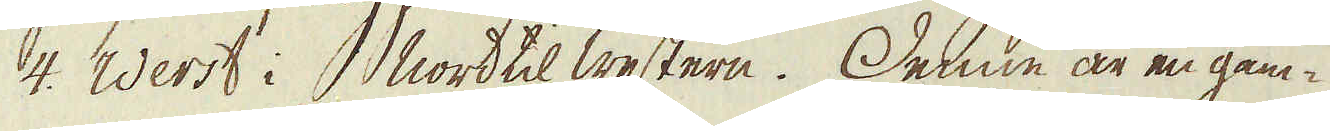4. Werst i Nord til western. Denne är en gam-
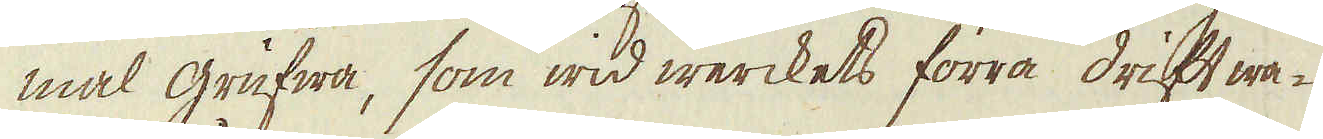mal grufwa, som wid werckets förra drift wa-
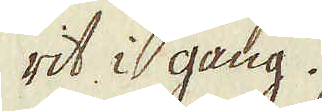rit i gång.
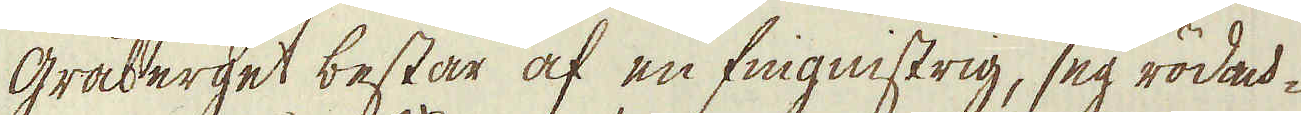Gråberget består af en fingnistrig, seg rödack-
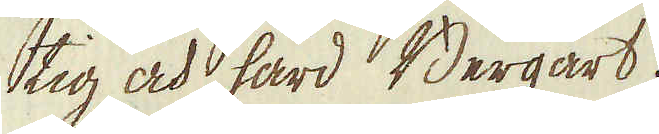tig och hård Bergart.
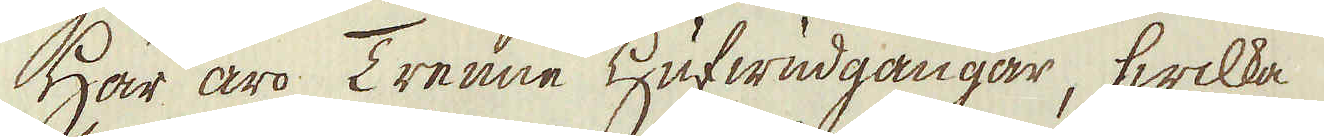Här äro Trenne hufwudgångar, hwilka
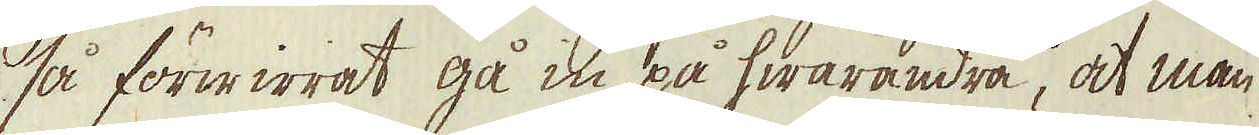så förwirrat gå in på hwarandra, at man
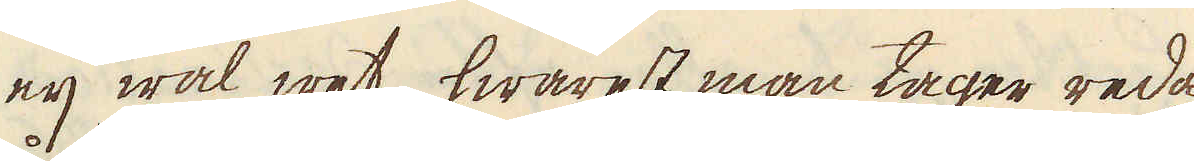eij wäl wet, hwarest man tager reda
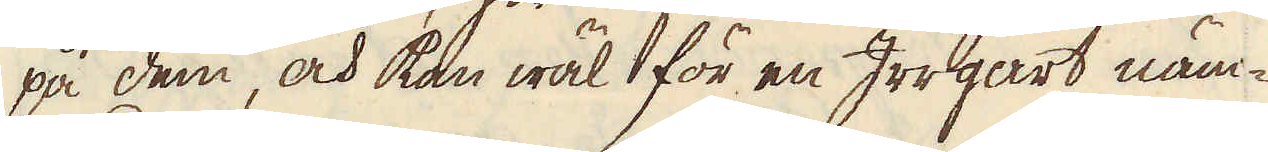på dem, och kan wäl för en Irrgart näm-
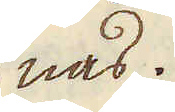nas.
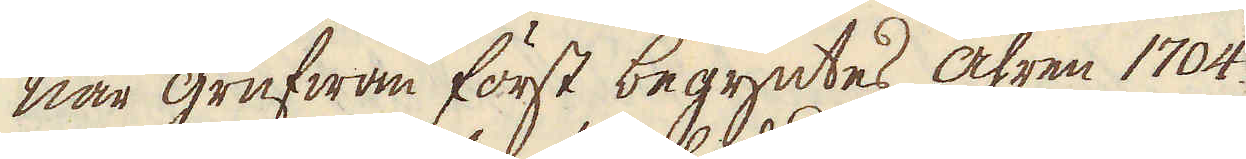När grufwan först begyntes åhren 1704
